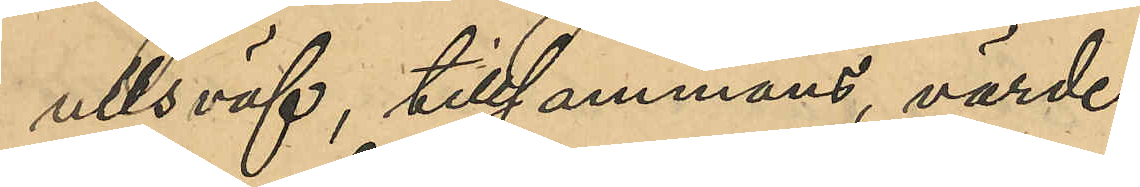ullsväf, tillsammans, värde
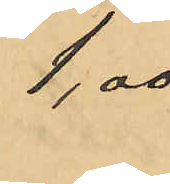1,00
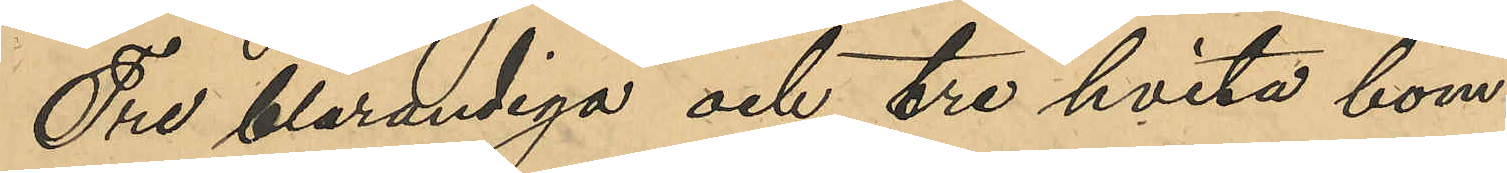Tre blårandiga och tre hvita bom¬
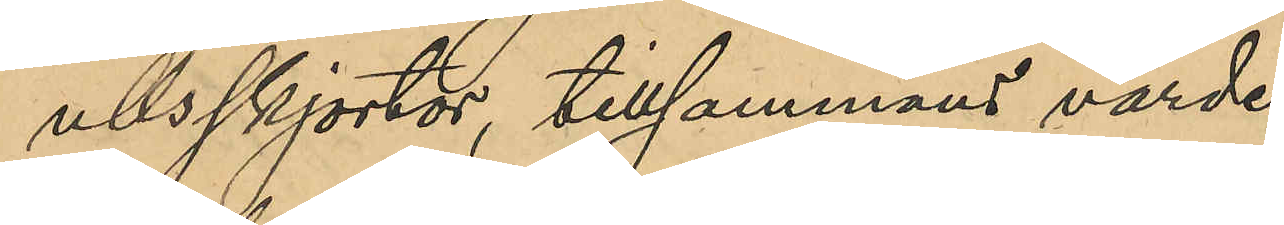ullsskjortor, tillsammans värde
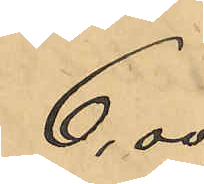6,00
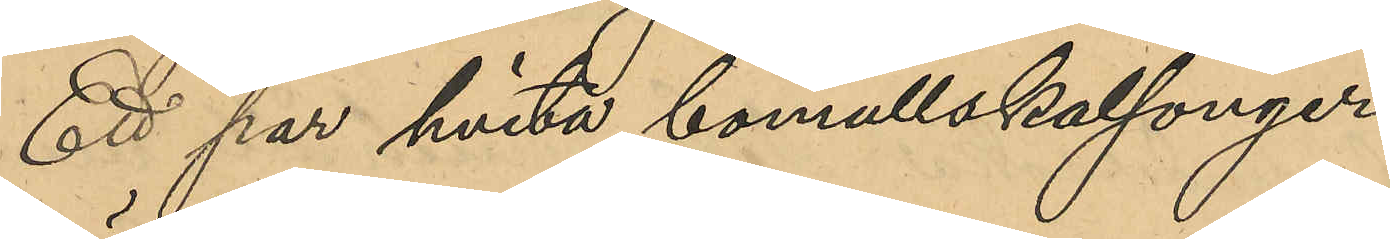Ett par hvita bomullskalsonger,
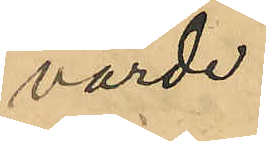värde
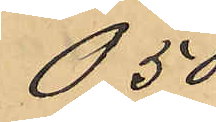0,50
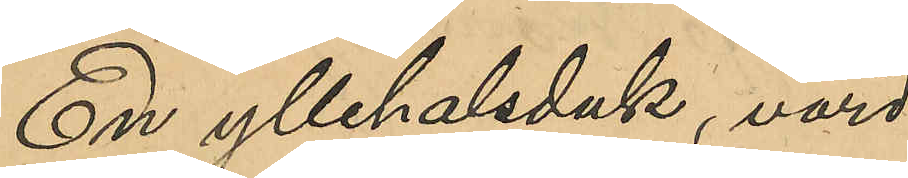En yllehalsduk, värd
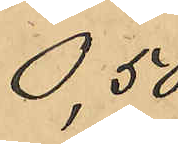0,50
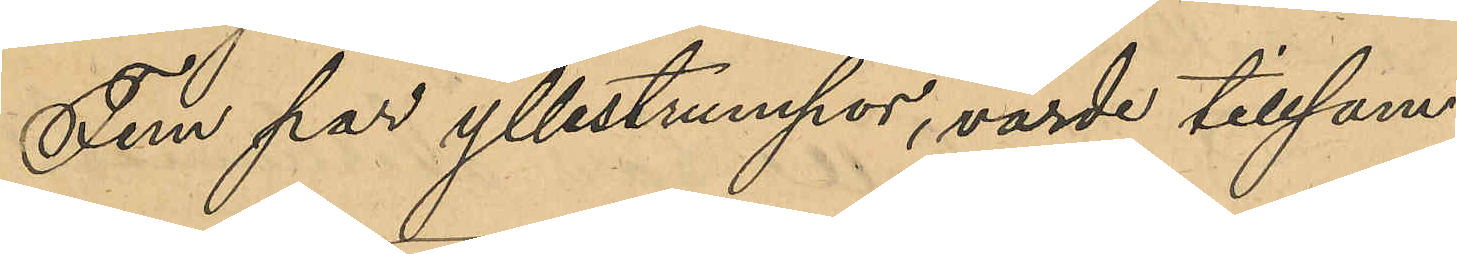Fem par yllestrumpor, värde tillsam¬
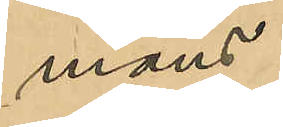mans
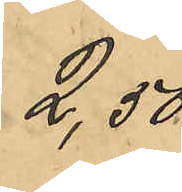2,50
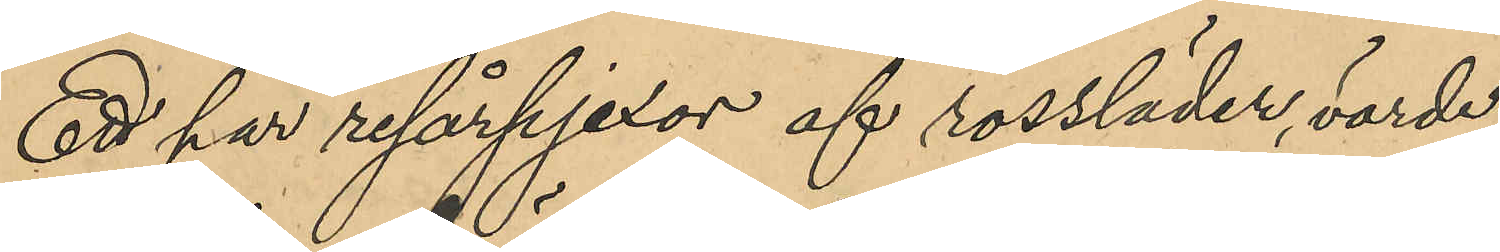Ett par resårpjexor af rossläder, värde
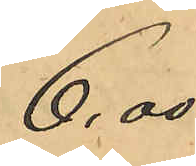6,00
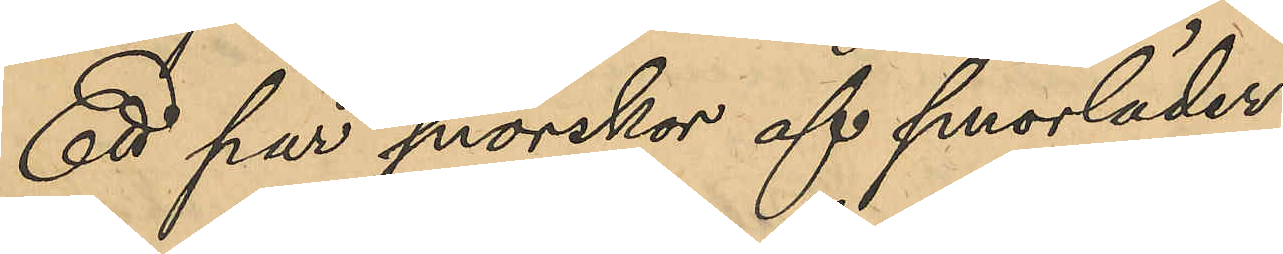Ett par snörskor af smorläder
